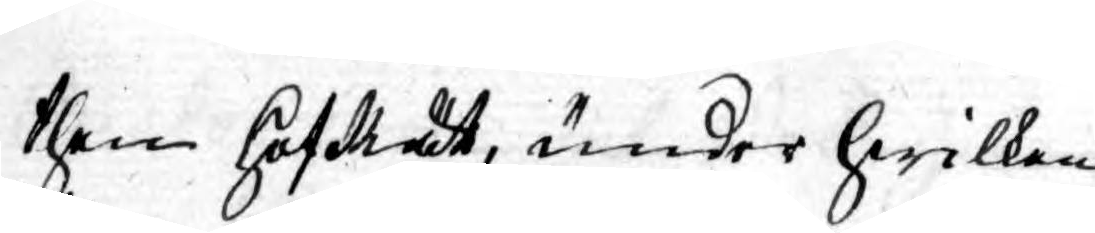then Hof Rätt, under hwilken
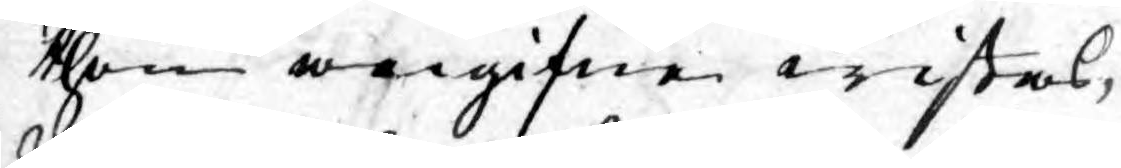then angifne wistas,
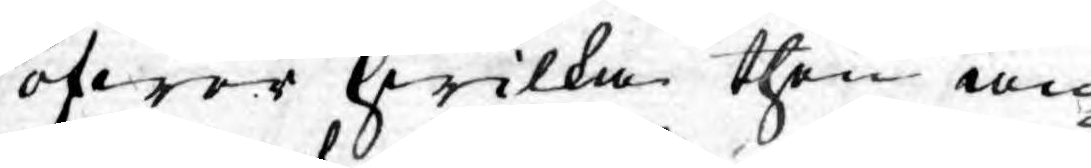öfwer hwilka then an¬
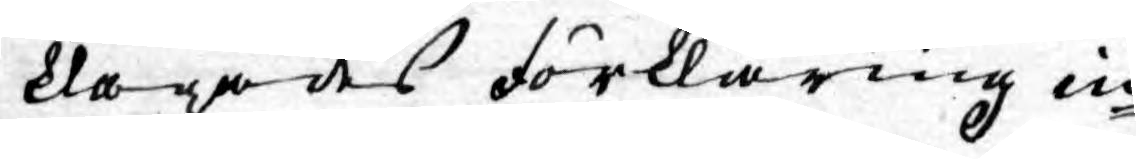klagades förklaring in¬
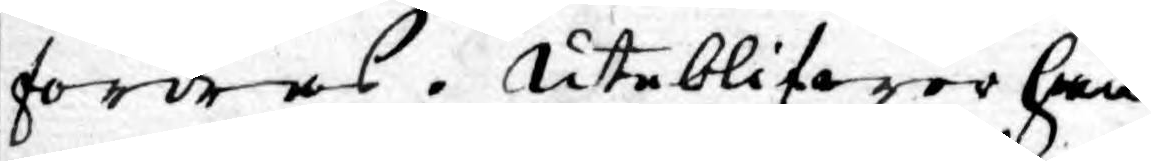fordras. Uteblifwer han
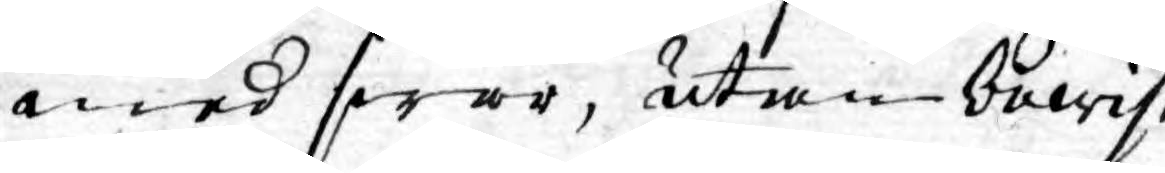med swar, utan bewis¬
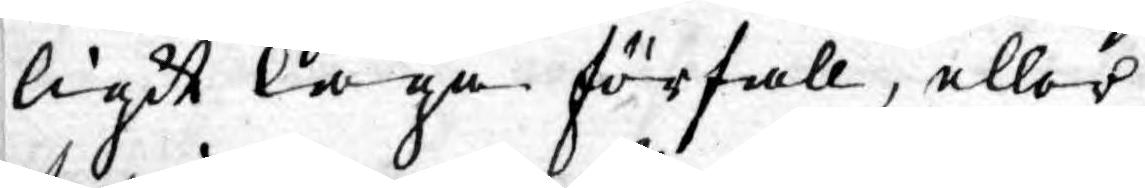ligit laga förfall, eller
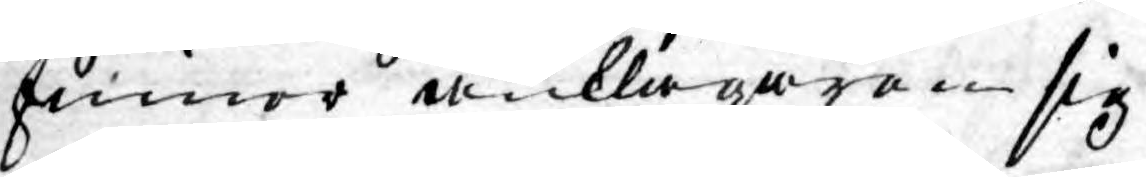finner anklagaren sig
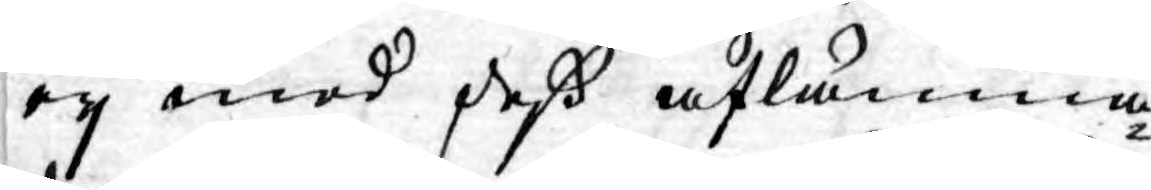ey med deß aflämna¬
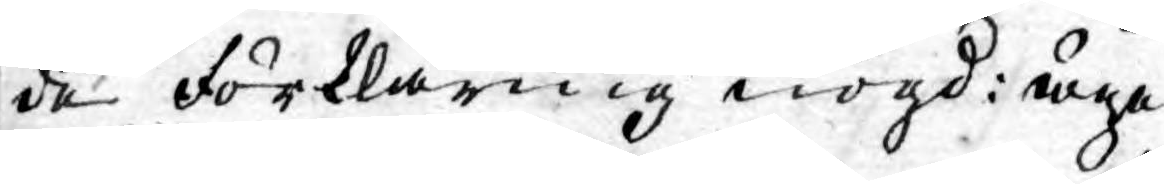de förklaring nögd: äga
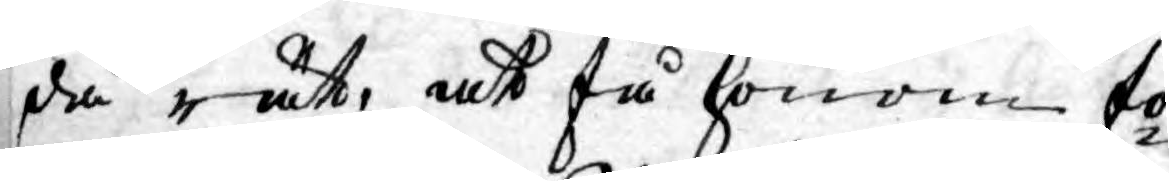då rätt, at få honom fö¬
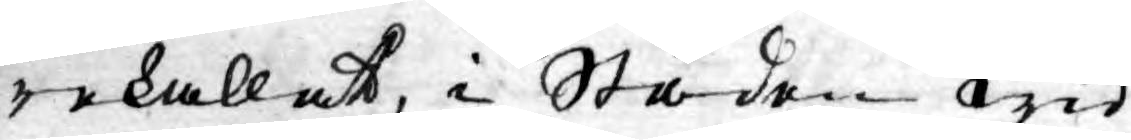rekallat, i Staden wid
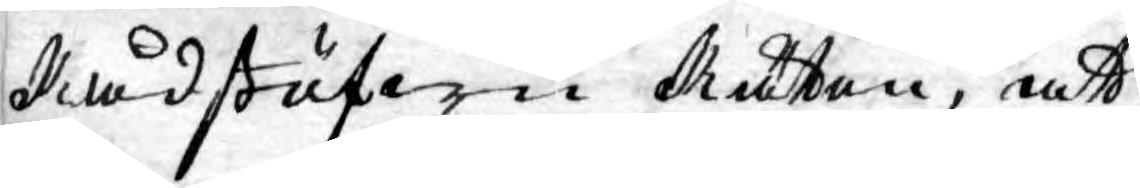Rådstufwu Rätten, att
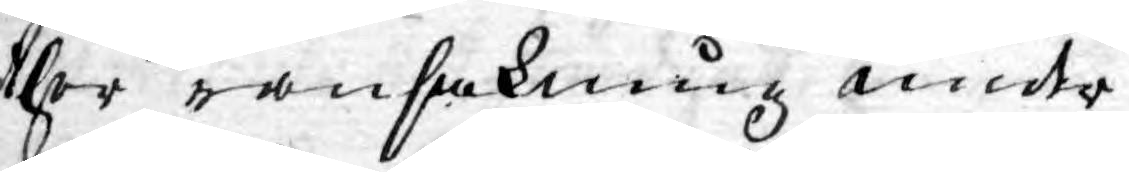ther ransakning under¬
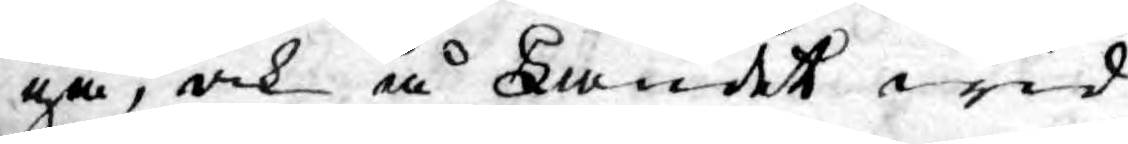gå, och å Landet wid
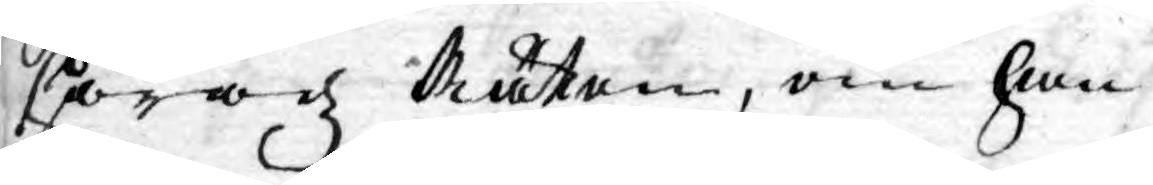Häradz Rätten, om han
